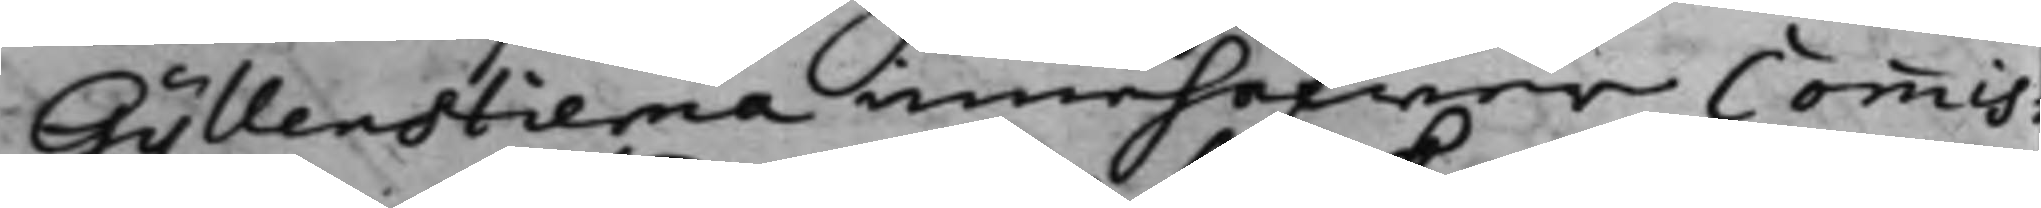Gyllenstierna innehafwer commis¬
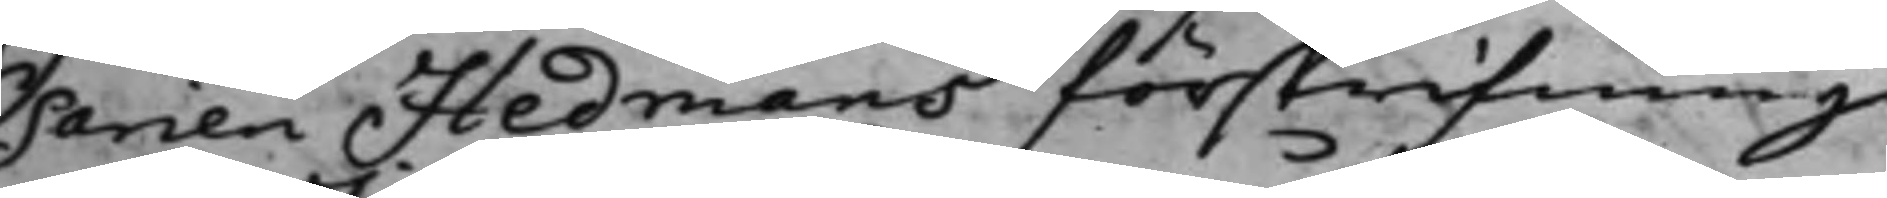sarien Hedmans förskrifning
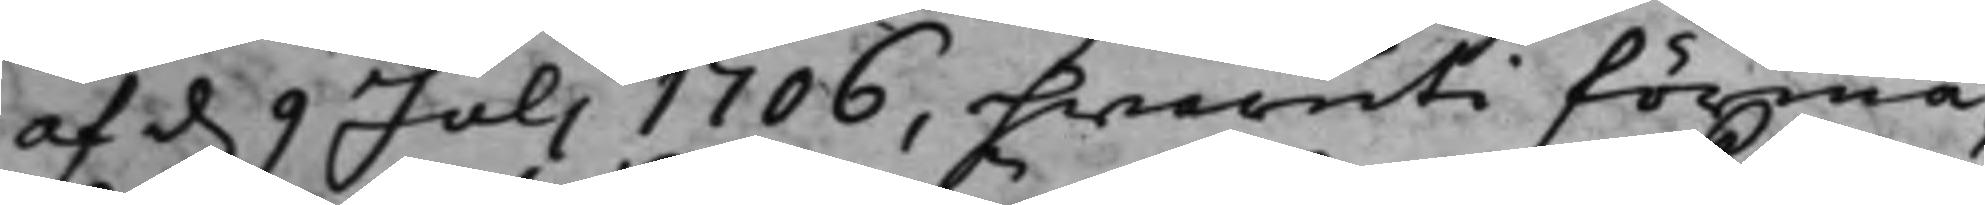af d. 9 Juli 1706, hwaruti förmä¬
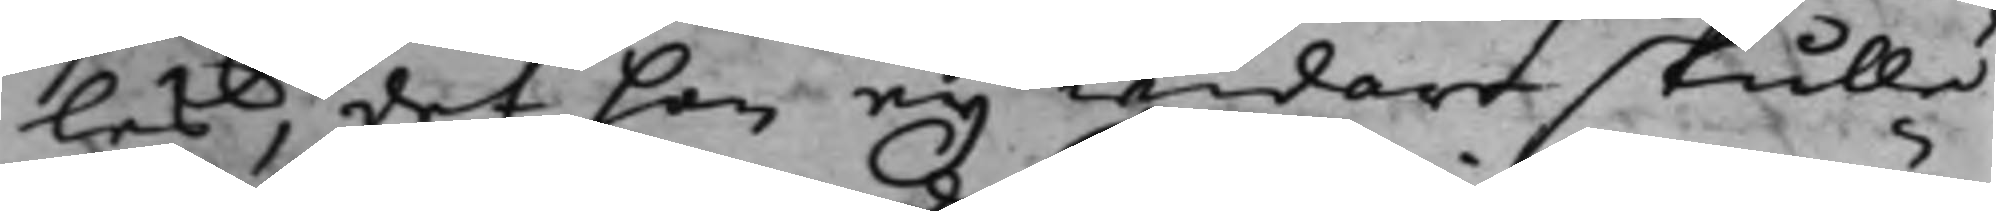les, det han eij widare skulle
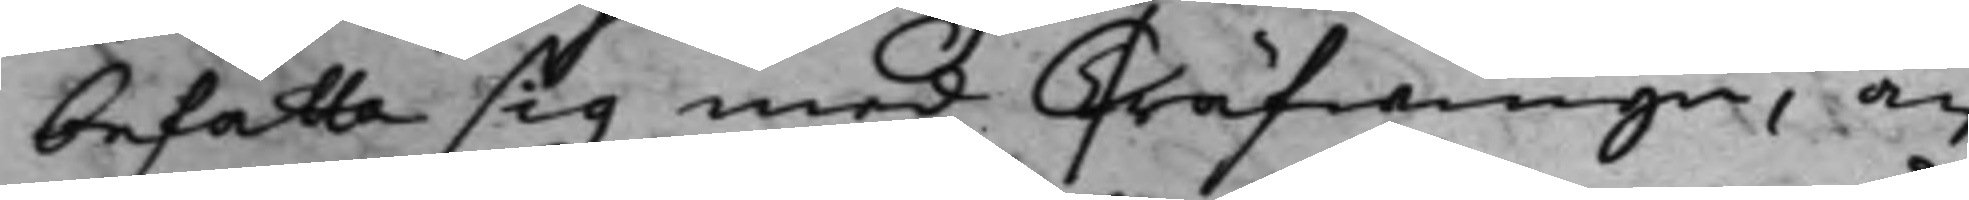befatta sig med Träfwinge, än
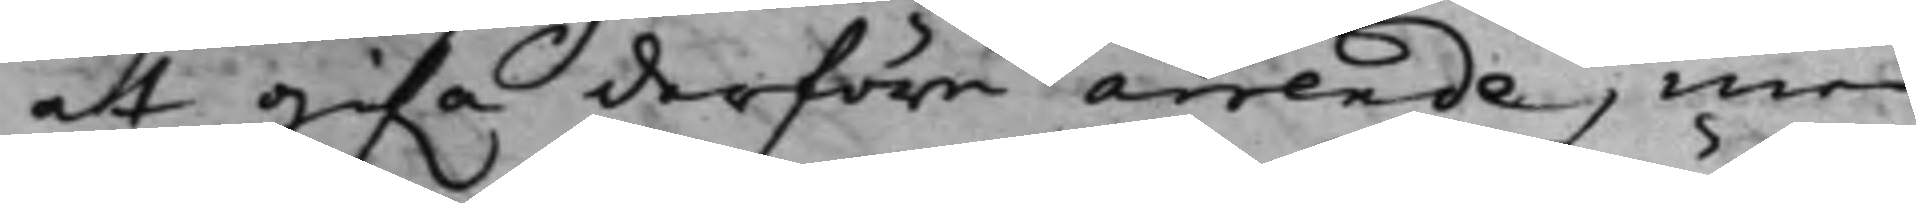at gifwa derföre arrende, med
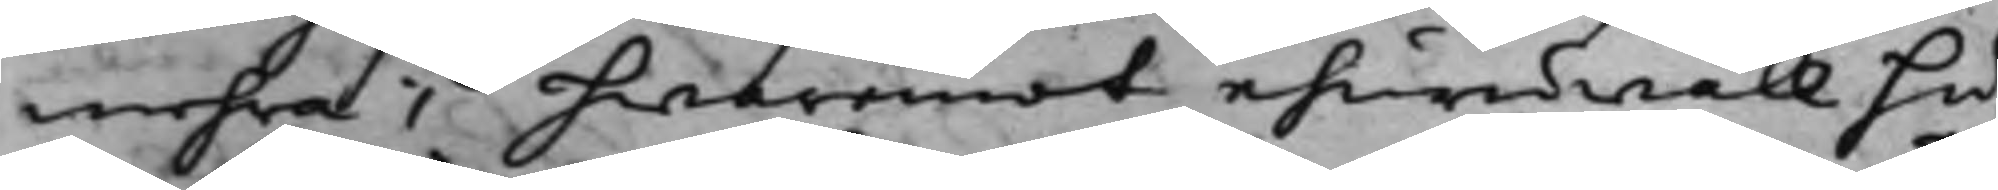mehra; hwaremot ehuruwäll hu¬
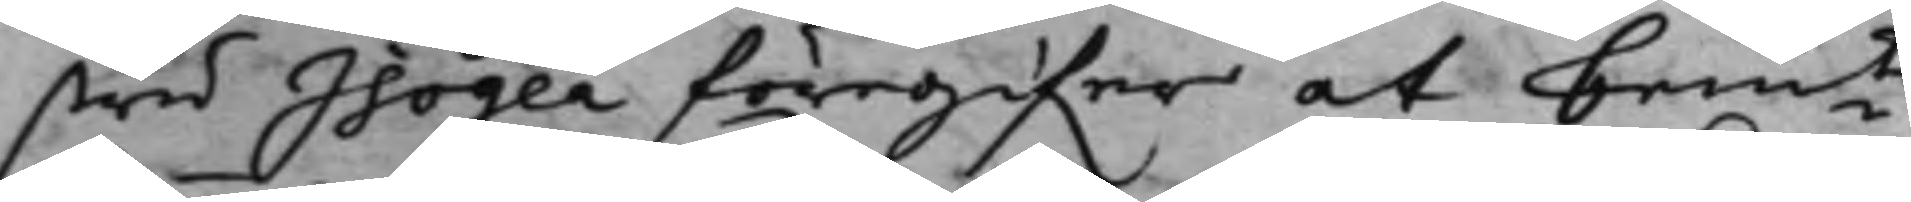stru Isogea föregifwer at bemte
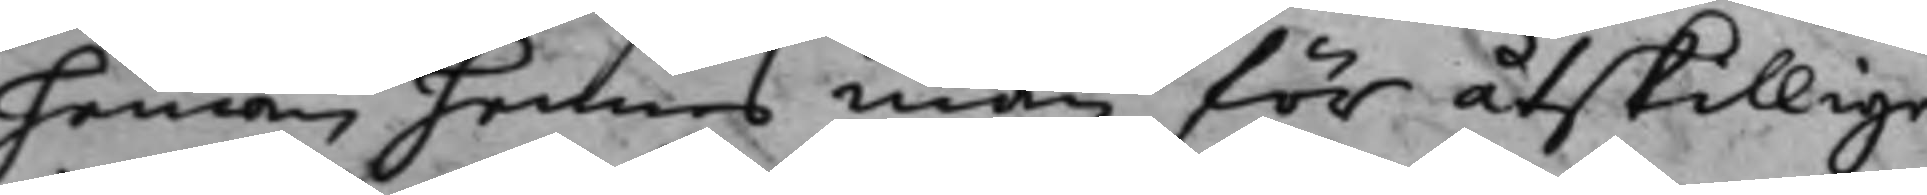hemman, hennes man för åtskillige
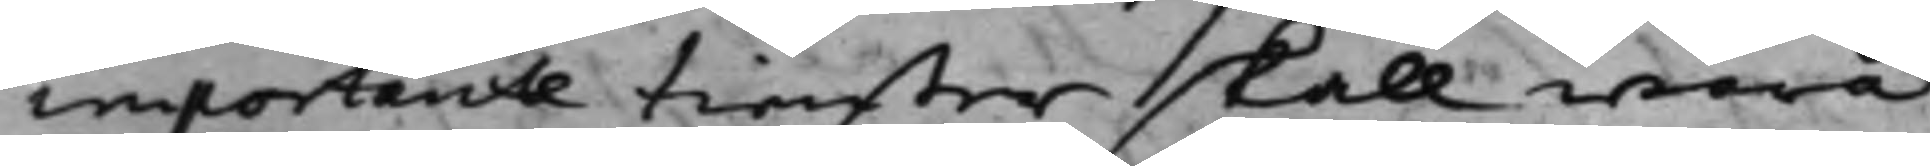importante tienster skall wara
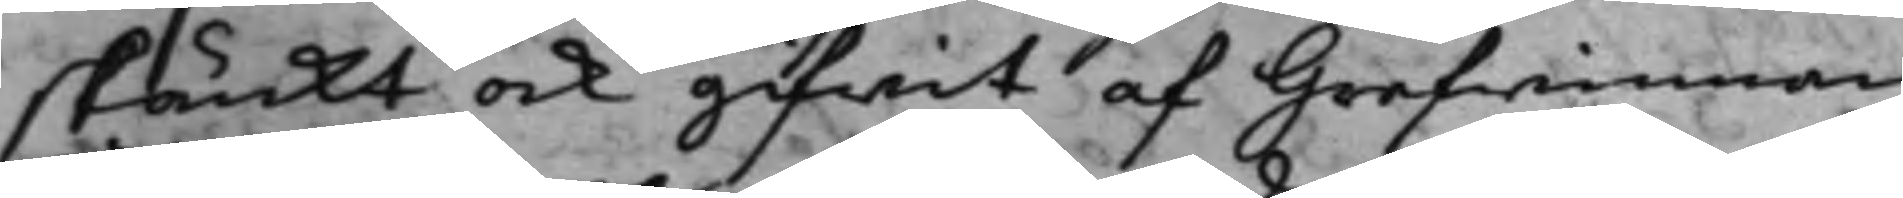skänkt ock gifwit af Gredwinnan
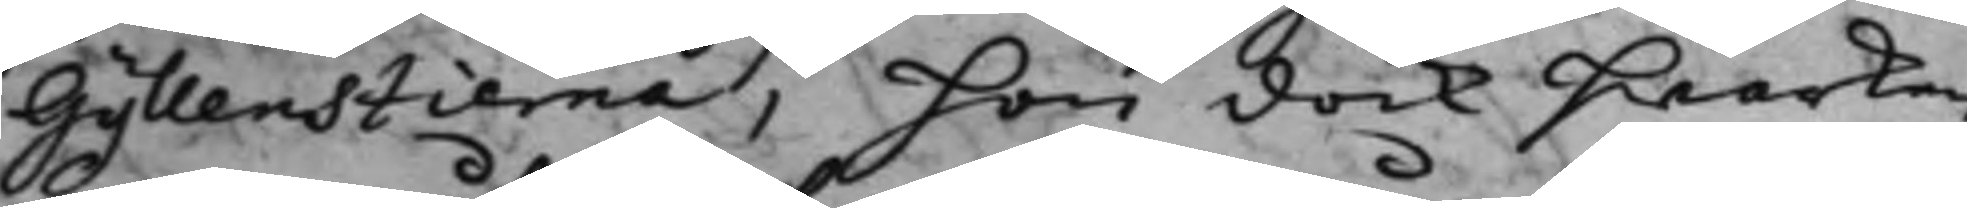Gyllenstierna, hon dock hwarken
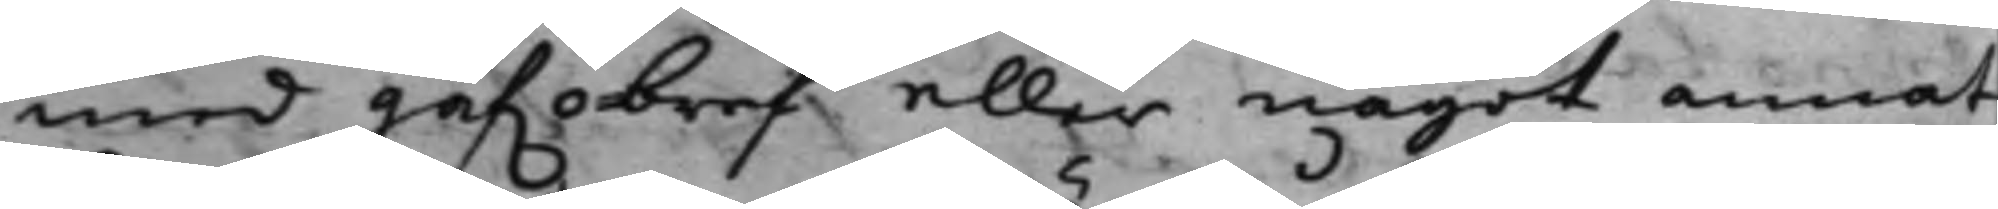med gåfwobraf eller något annat
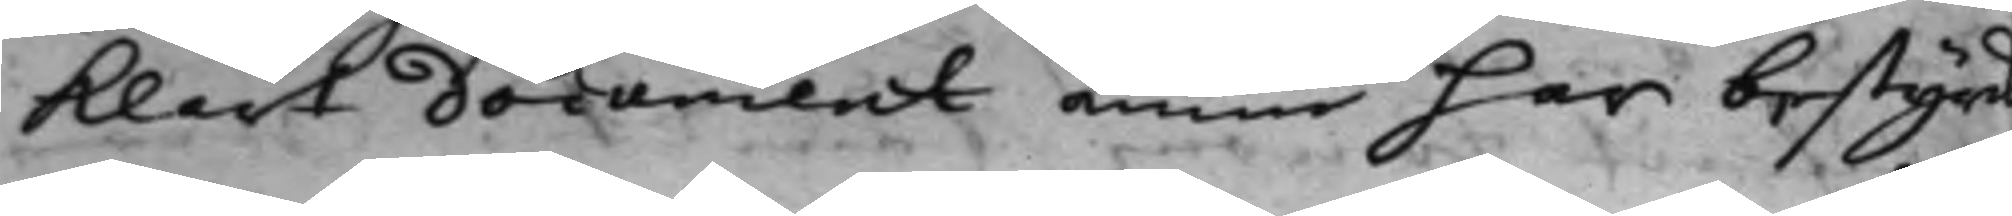klart document ännu har bestyrk
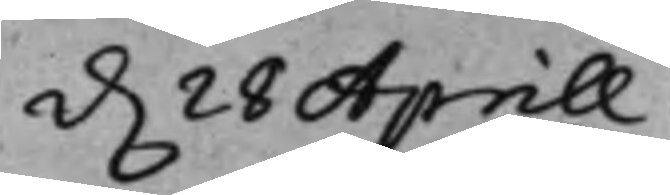d. 28 Aprill.
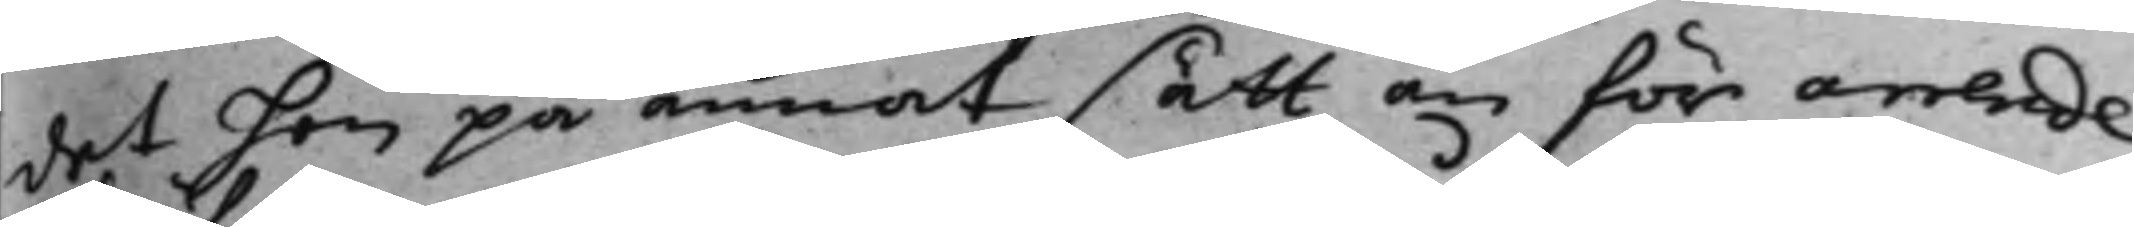det hon på annat sätt än för arrende
